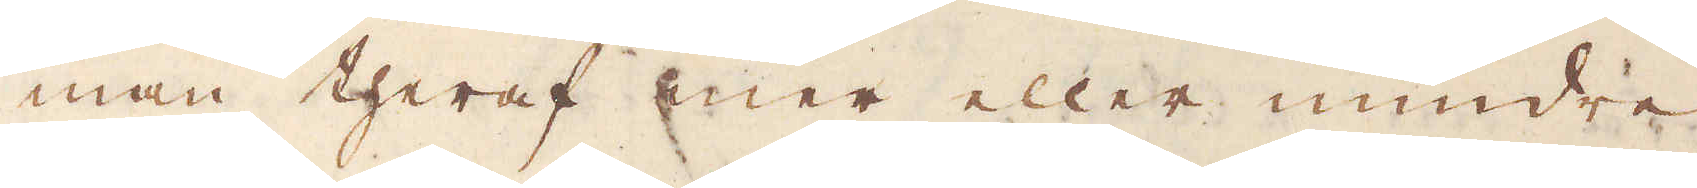man theraf mer eller mindre
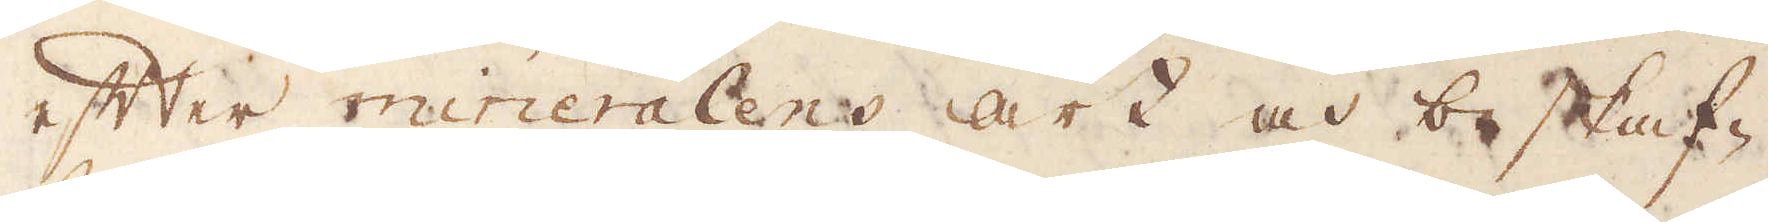efter mineralens art och beskaf-
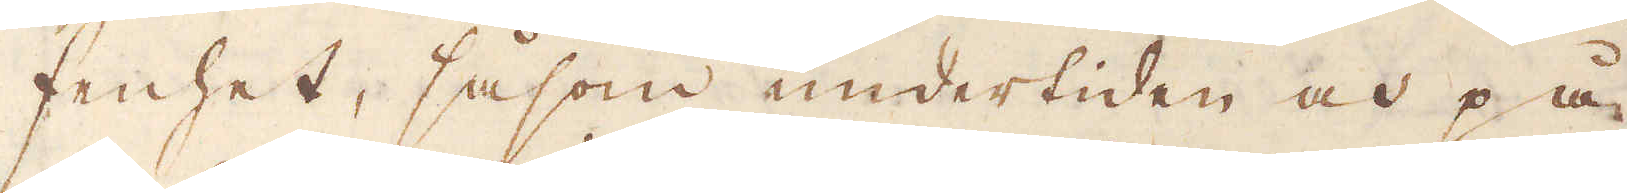fenhet, såsom undertiden och på
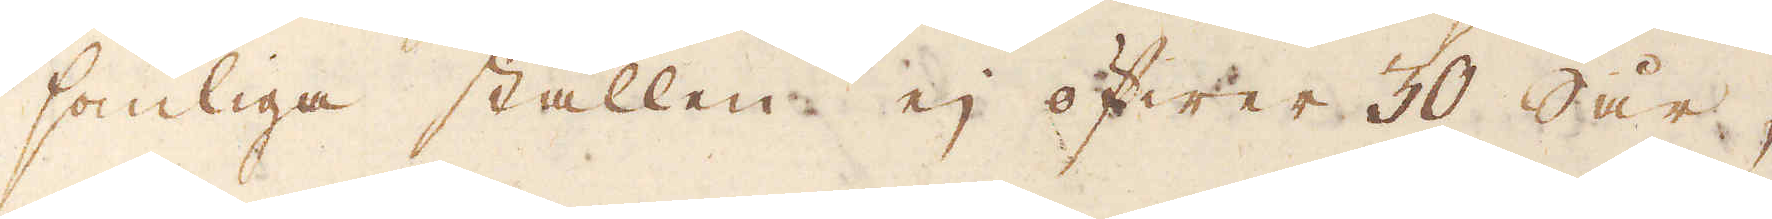somliga ställen ej öfwer 30 Sår,
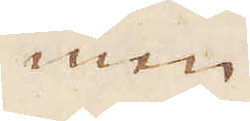men
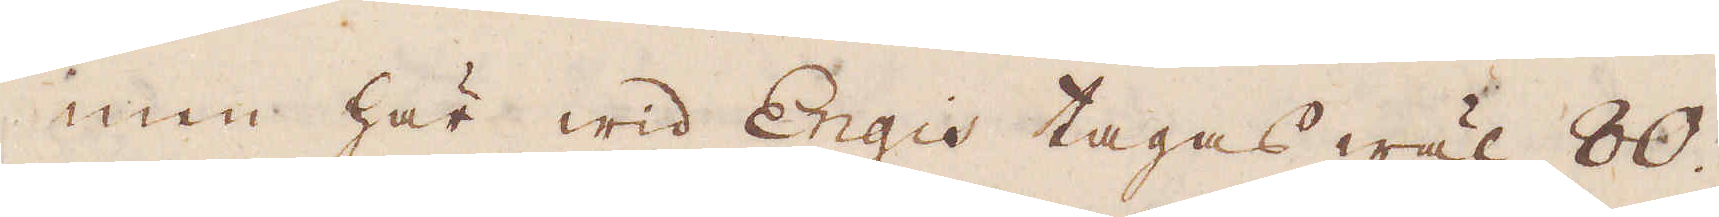men här wid Engis tages wäl 80.
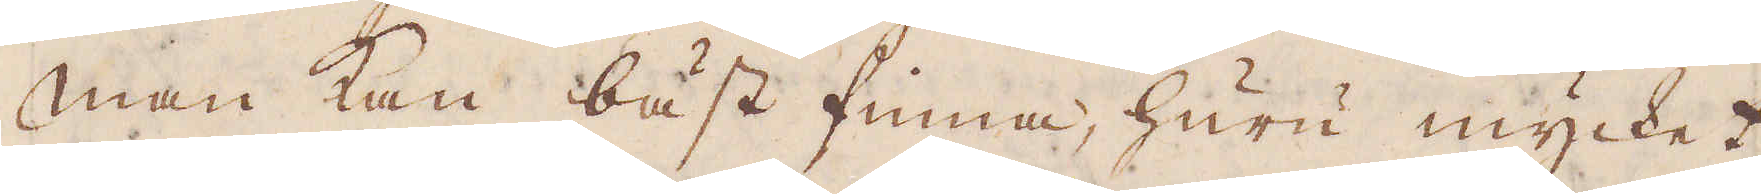Man kan bäst finna, huru mycket
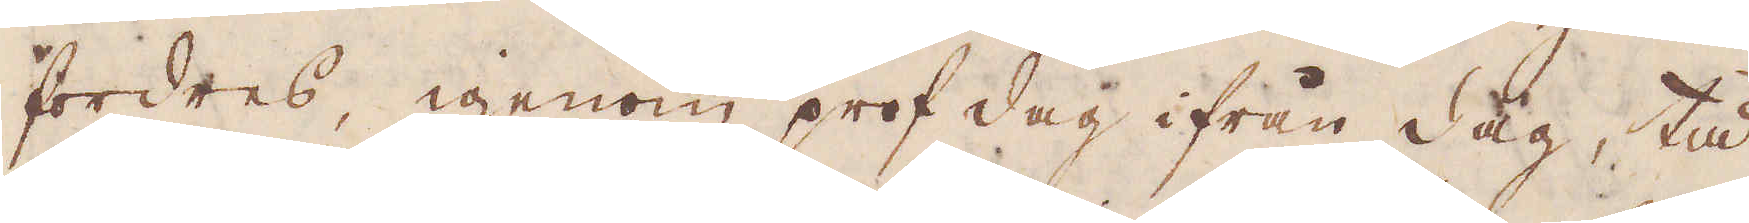fordres, igenom prof dag ifrån dag, tå
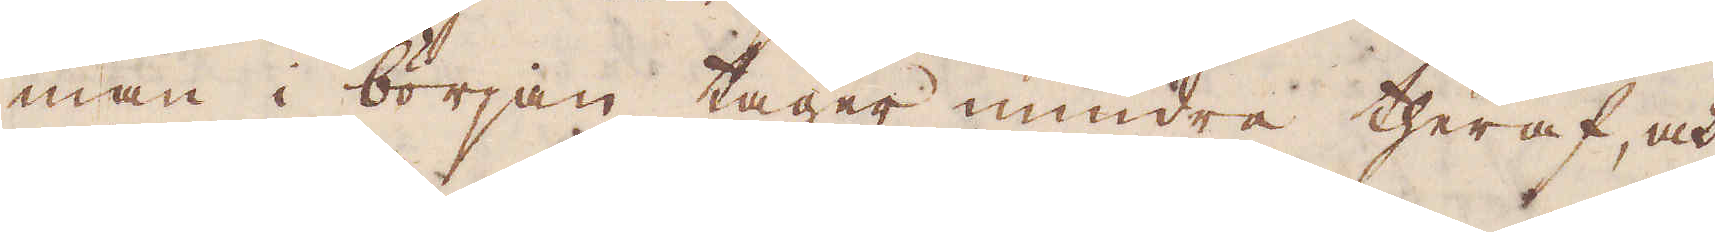man i början tager mindre theraf, och
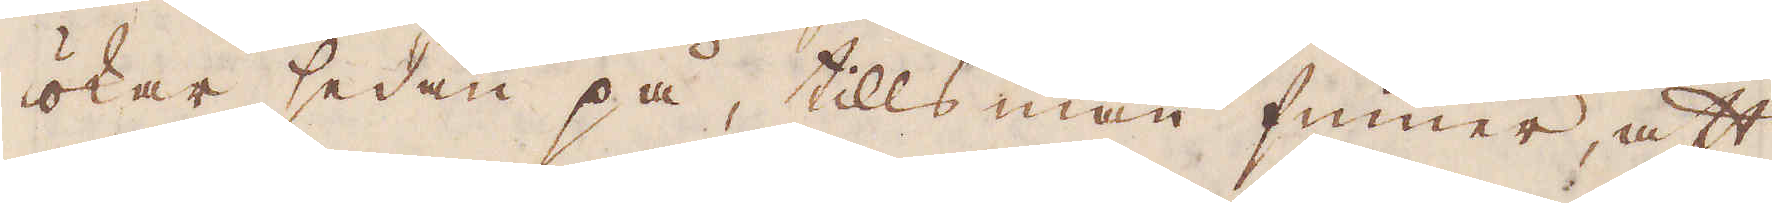ökar sedan på, tills man finner, att
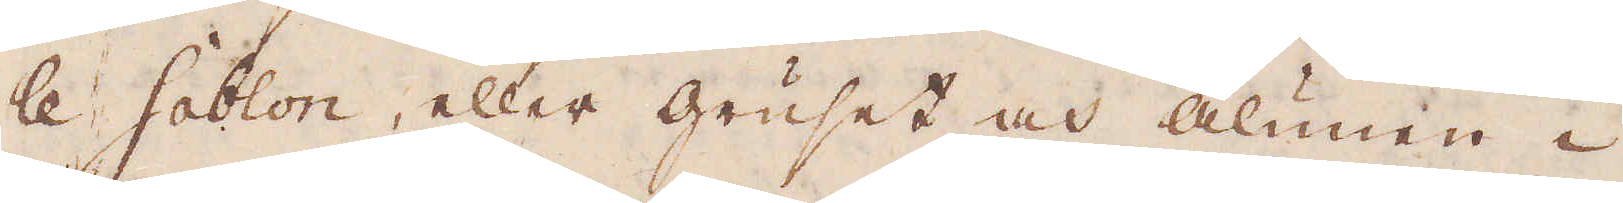le Sablon, eller gruset och alunen i
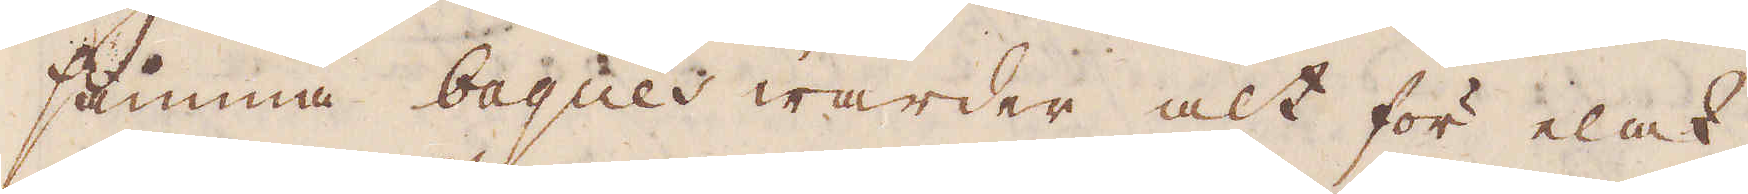samma bagues warder alt för elak,
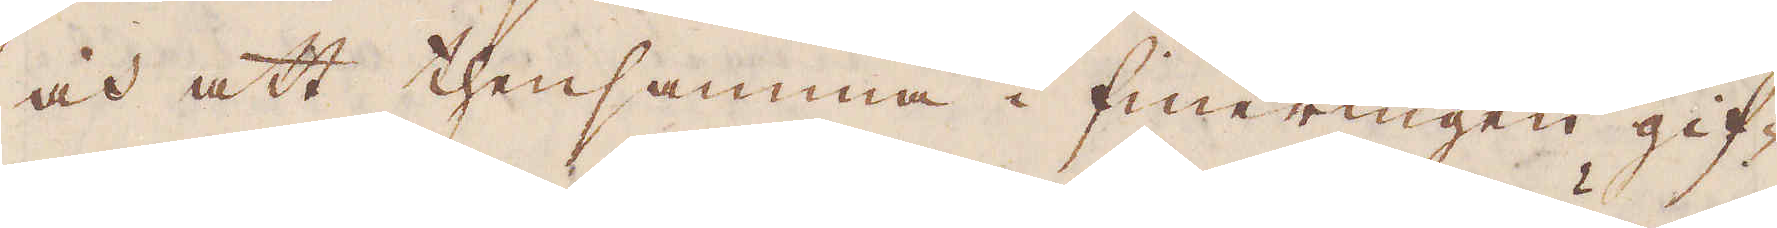och att thensamma i fineringen gif-
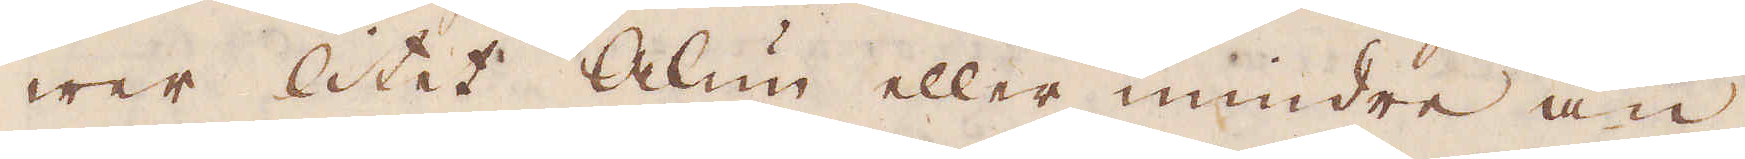wer litet Alun eller mindre än
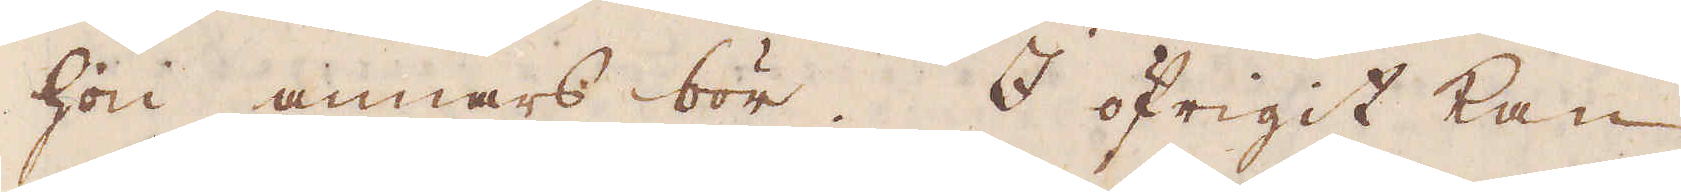hon annars bör. I öfrigit kan
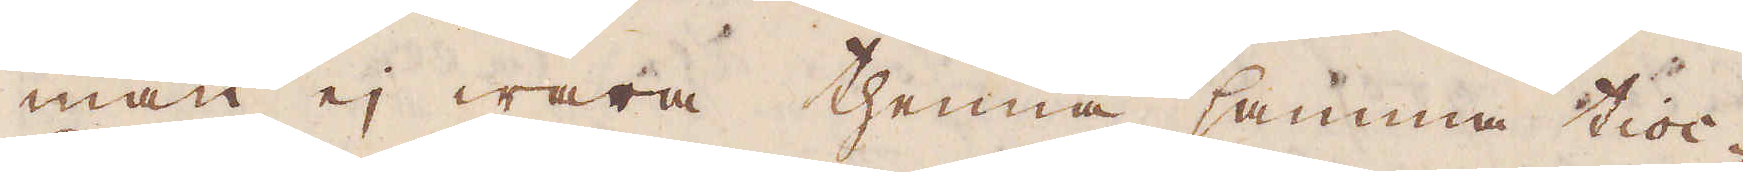man ej wara thenna samma tioc-
